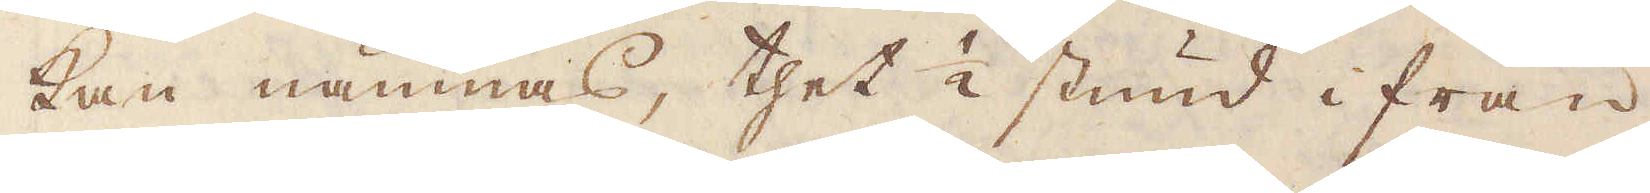kan nämnas, thet 1/2 stund ifrån
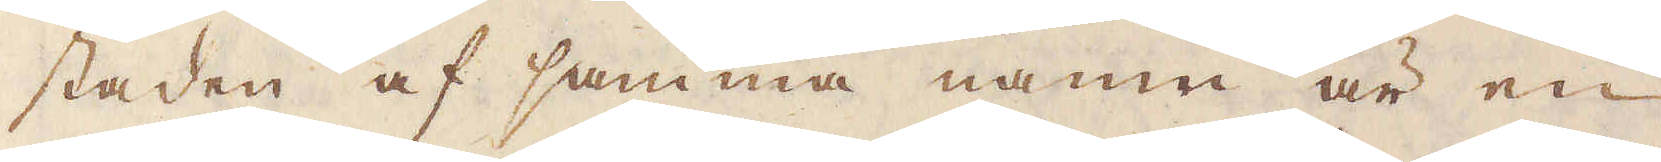staden af samma namn är en
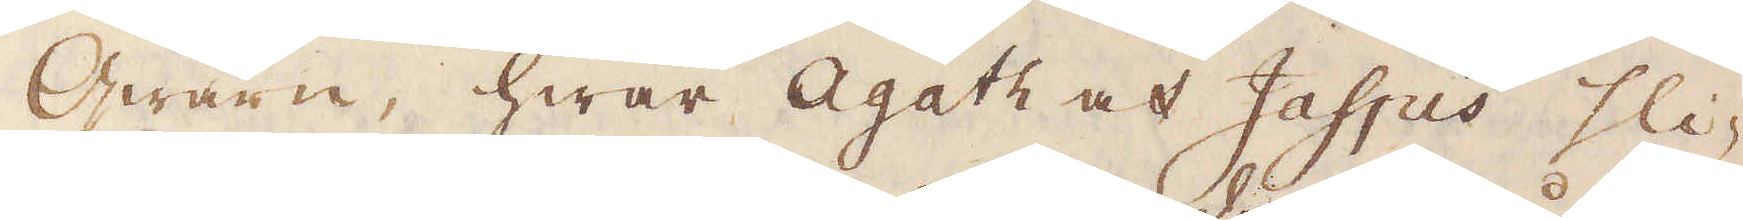Qwarn, hwar Agath och Jaspis sli-
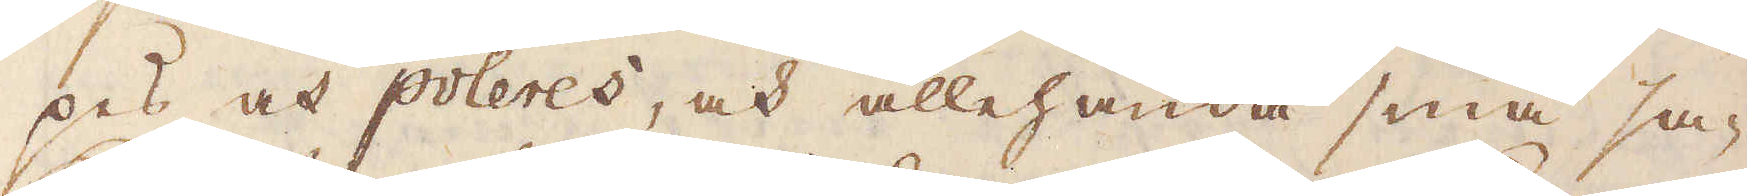pes och poleres, ock allehanda små sa-
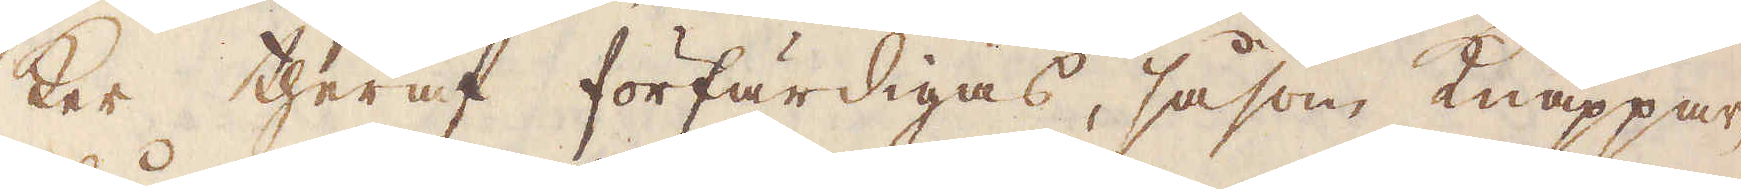ker theraf förfärdigas, såsom Knappar,
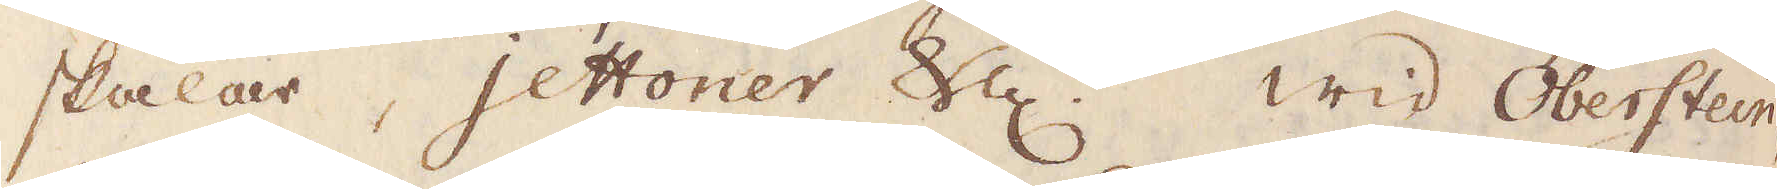skålar, jettoner &c. Wid Oberstein,
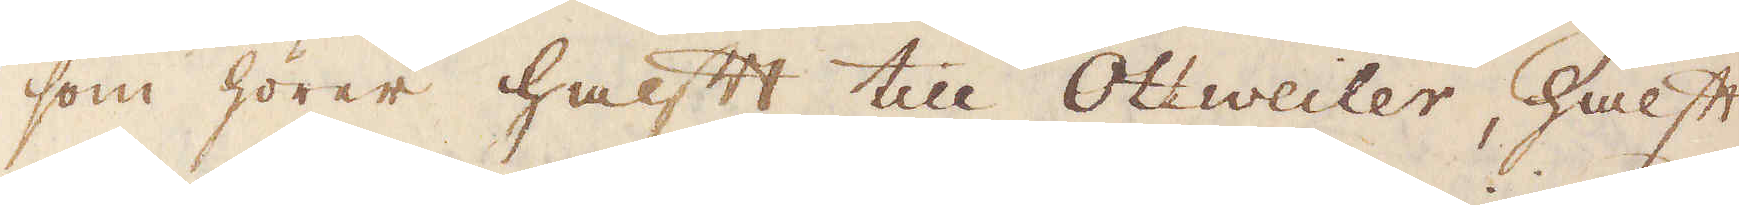som hörer halft till Ottweiler, halft
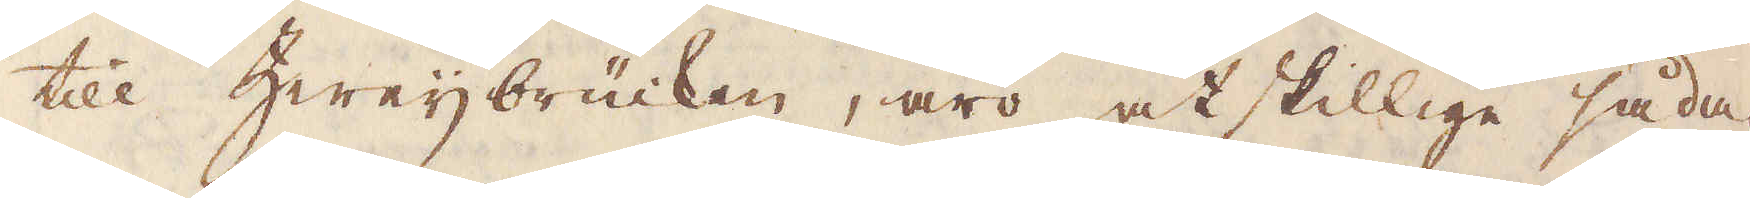till Zweijbrücken, äro åtskillige såda-
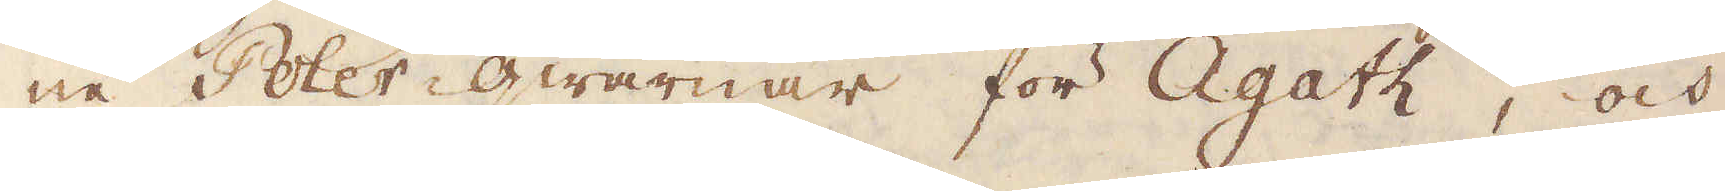ne Poler-qwarnar för Agath, och
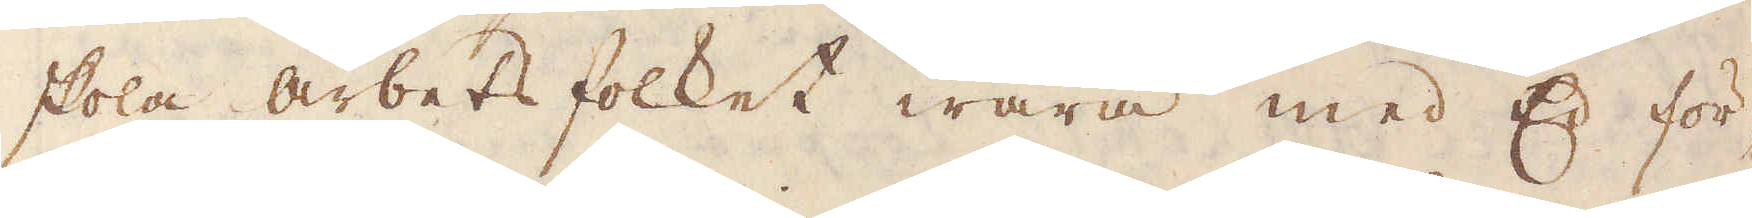skola arbets folket wara med Ed för-
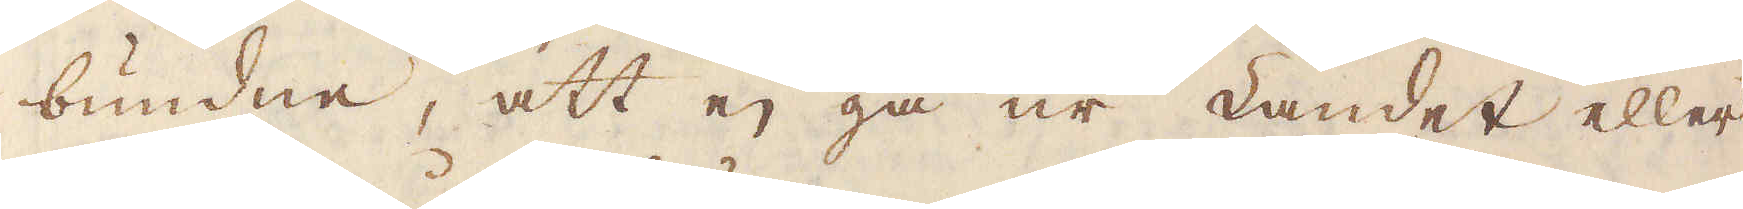bundne, att ej gå ur Landet eller
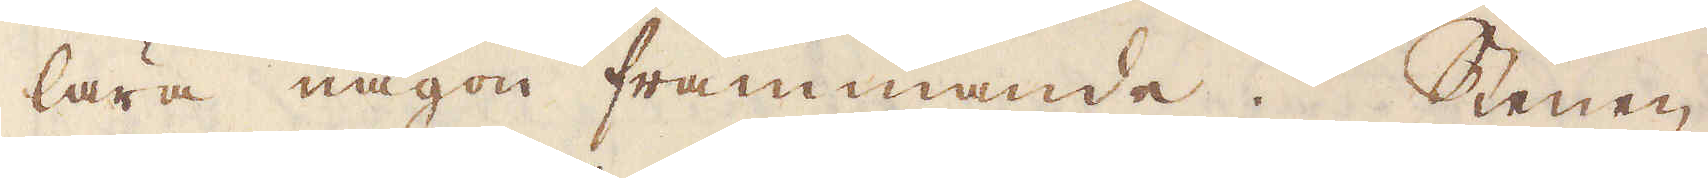lära någon främmande. Stenen
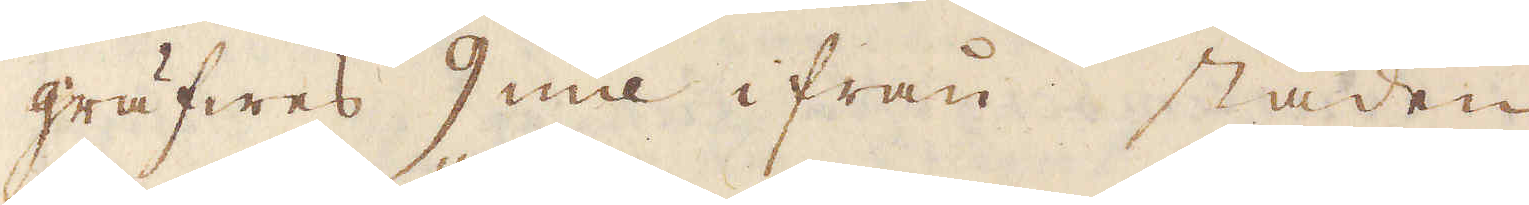gräfwes 9 mil ifrån staden
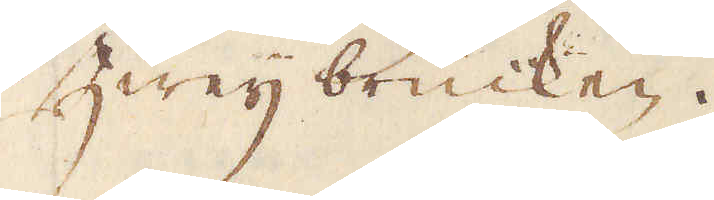Zweijbrücken.
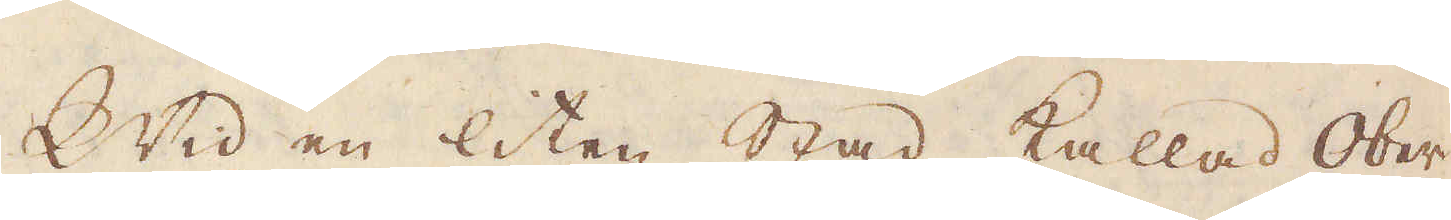Wid en liten stad kallad Ober-
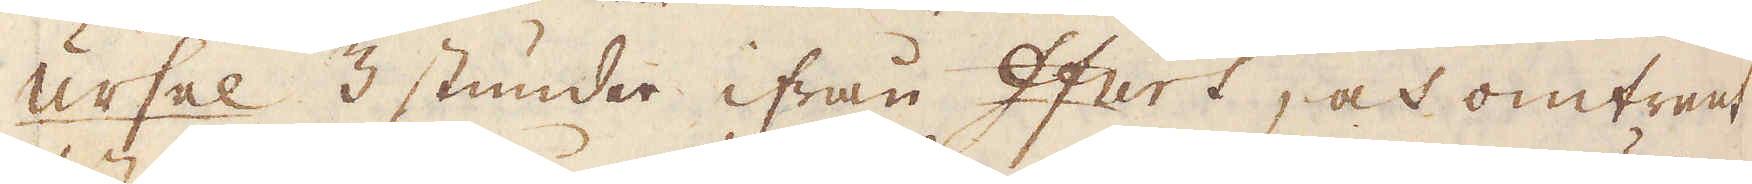ursel 3 stunder ifrån Ifurt, och omtrent
